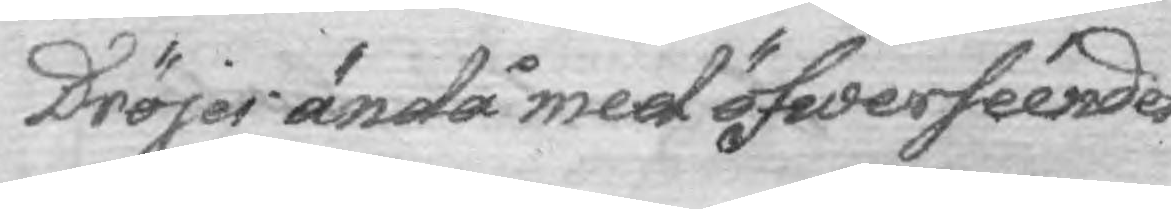Dröjer ändå med öfwerséendet
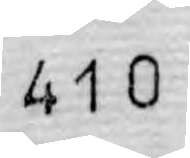410
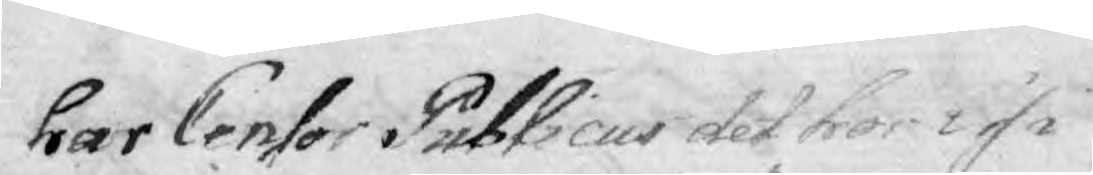har Censor Publicus det hos i si 
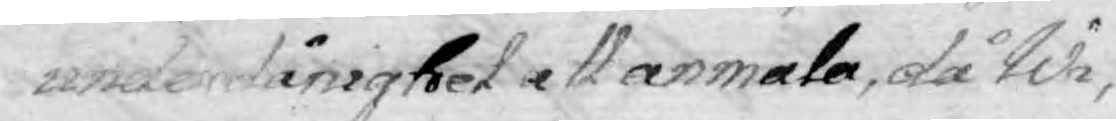underdånighet att anmäla, då Wi, 
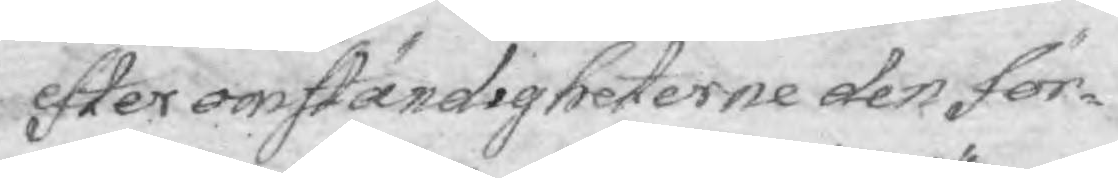efter omständigheterne den för¬
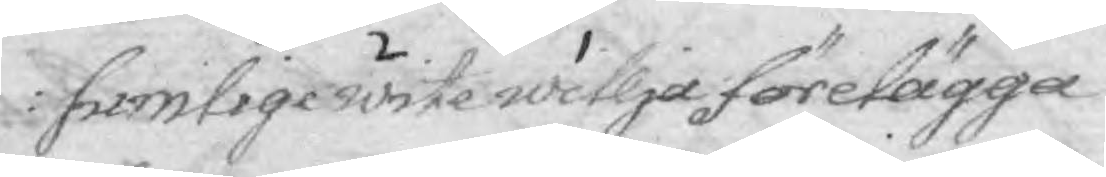sumlige wite willja förelägga
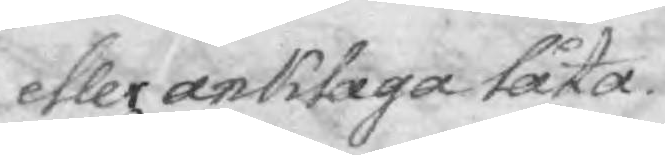eller anklaga låta.
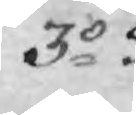3o
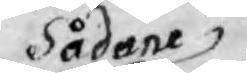Sådane
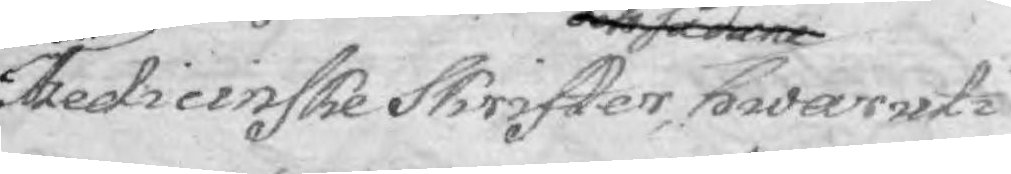Medicinske Skrifter och sådande hwaruti
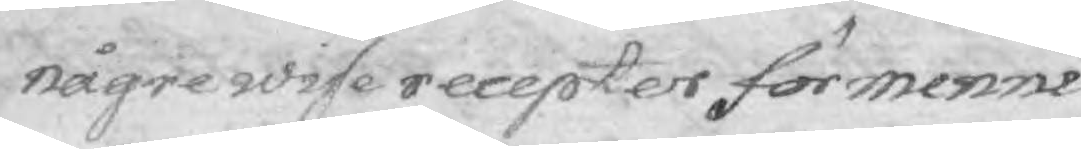någrebwise recepter för menni¬
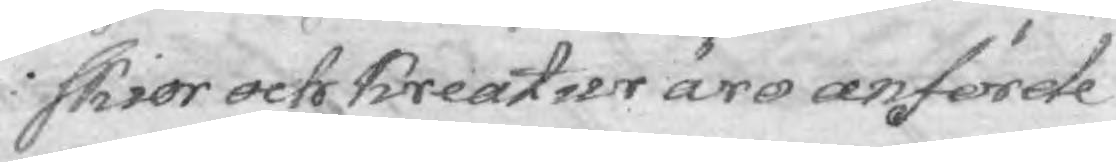skior och Kreatyr äro anförde
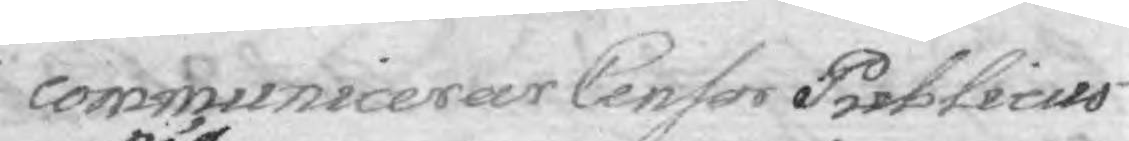communicerar Censor Publicus
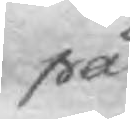på
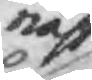näst
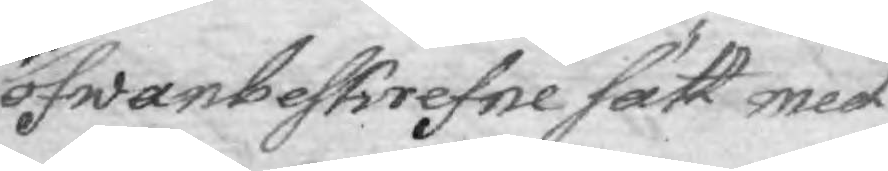ofwanbeskrefne sätt med
